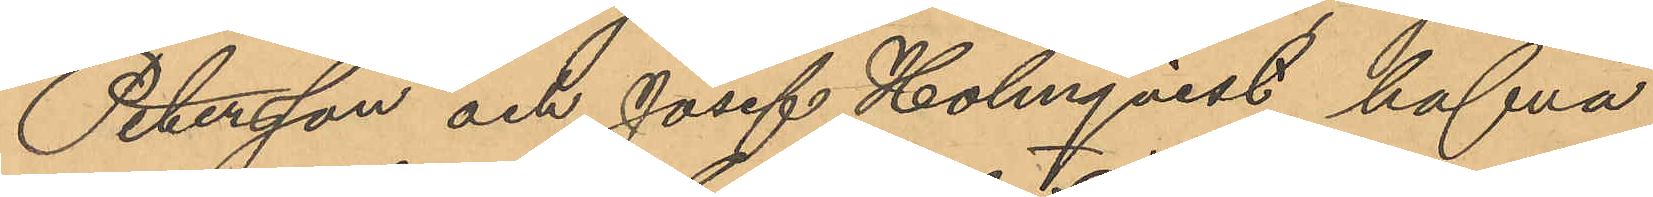Petersson och Josef Holmqvist hafva
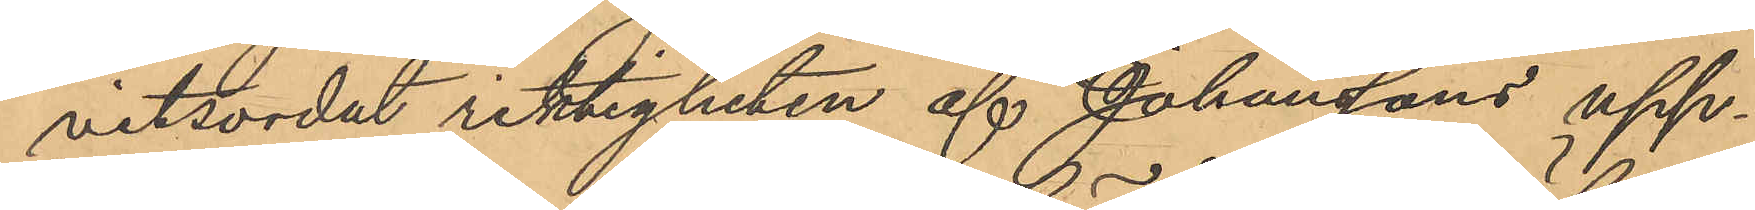vitsordat riktigheten af Johanssons upp¬
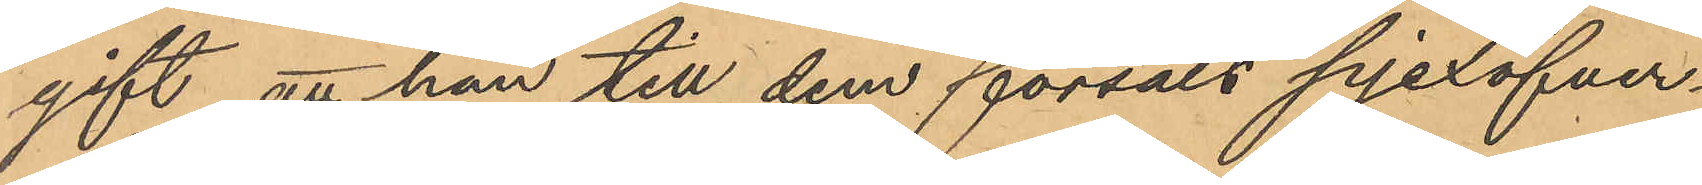gift att han till dem försålt pjexöfver¬
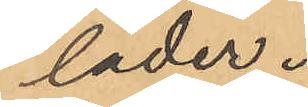läder.
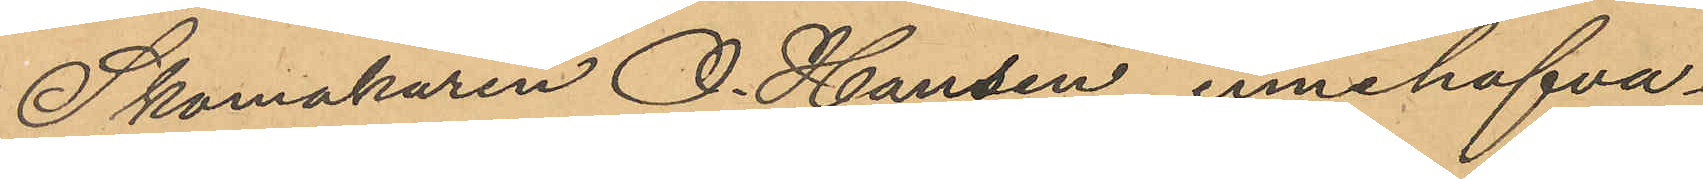Skomakaren O. Hansen innehafva¬
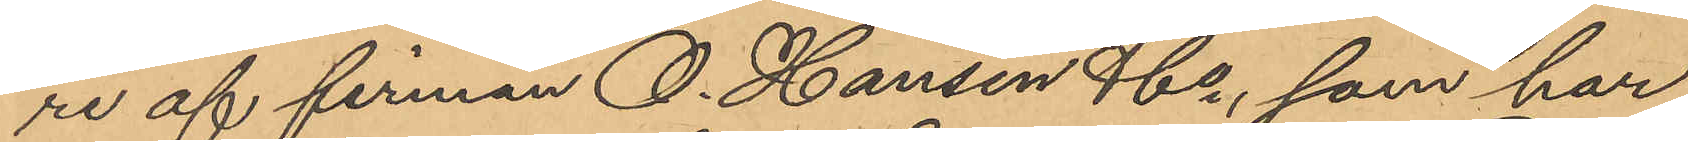re af firman O. Hansen & Co, som har
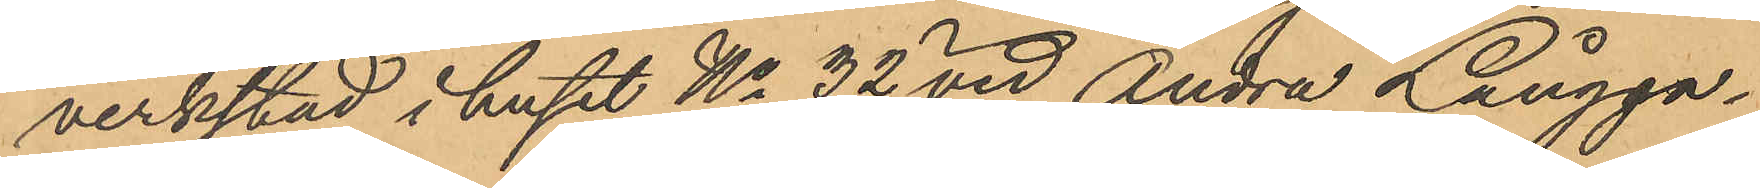verkstad i huset No 32 vid Andra Långga¬
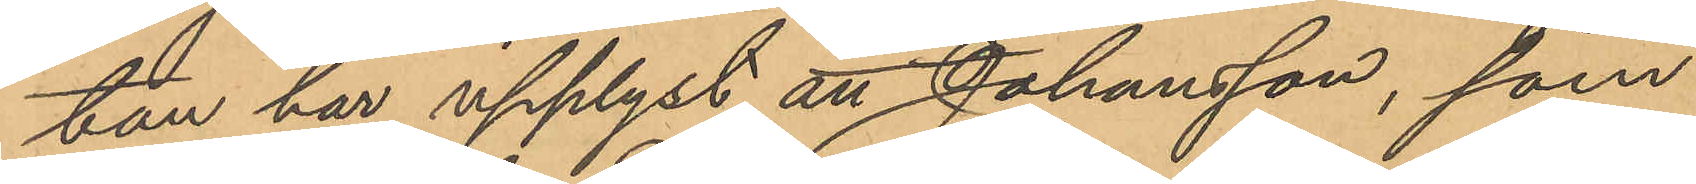tan har upplyst att Johansson, som
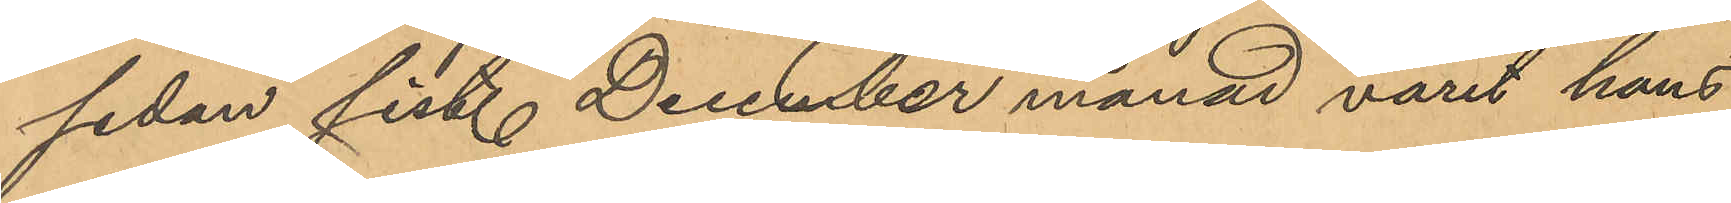sedan sist. December månad varit hans
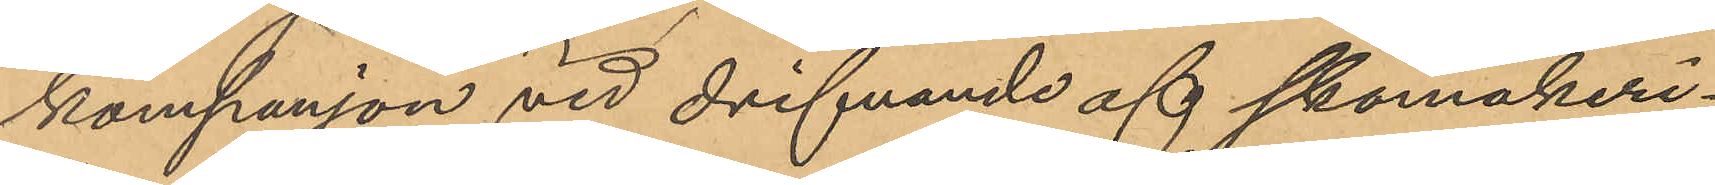kompanjon vid drifvande af skomakeri¬
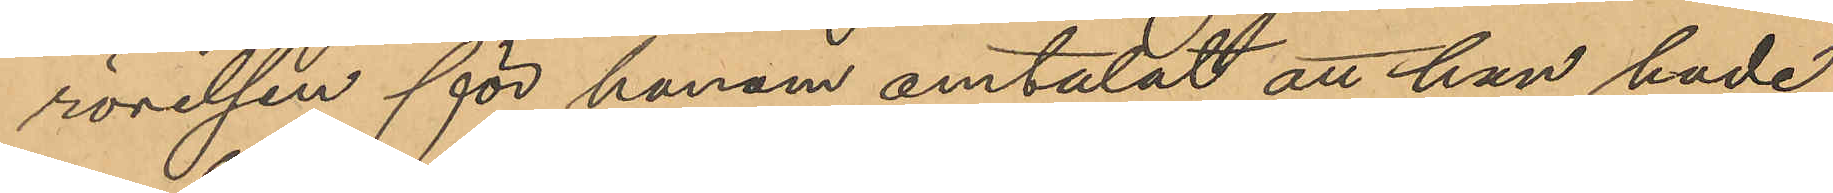rörelsen för honom omtalat att han hade
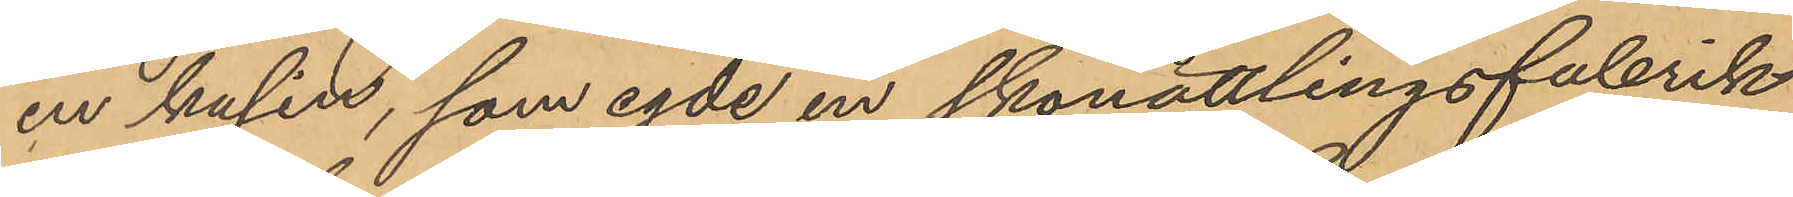en kusin, som egde en skonåttlingsfabrik
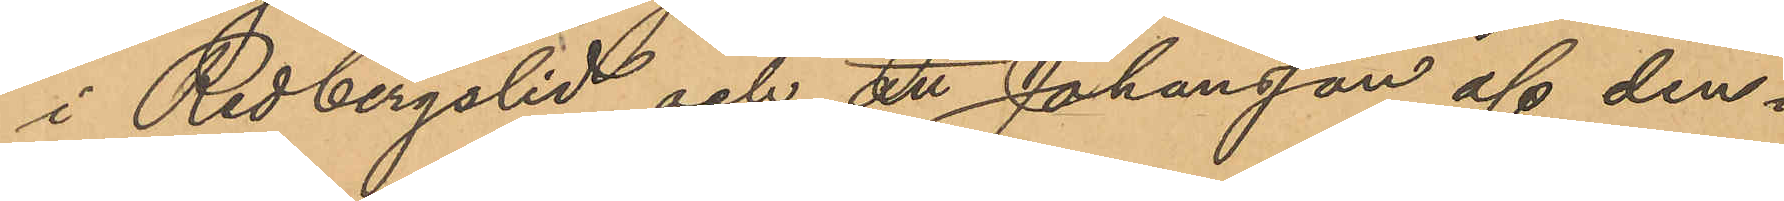i Redbergslid och att Johansson af den¬
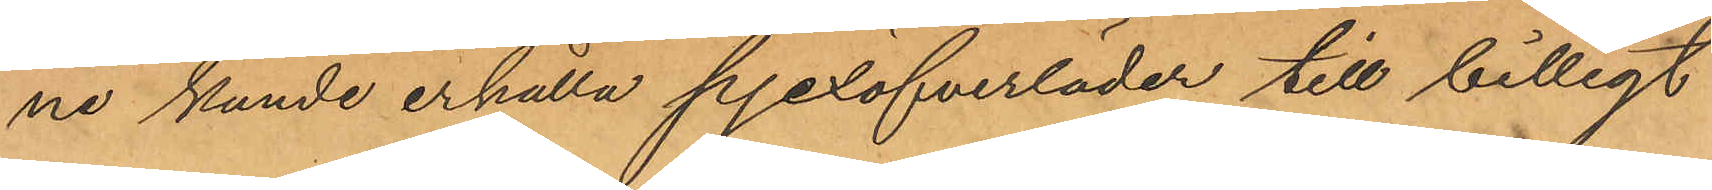ne kunde erhålla pjexöfverläder till billigt
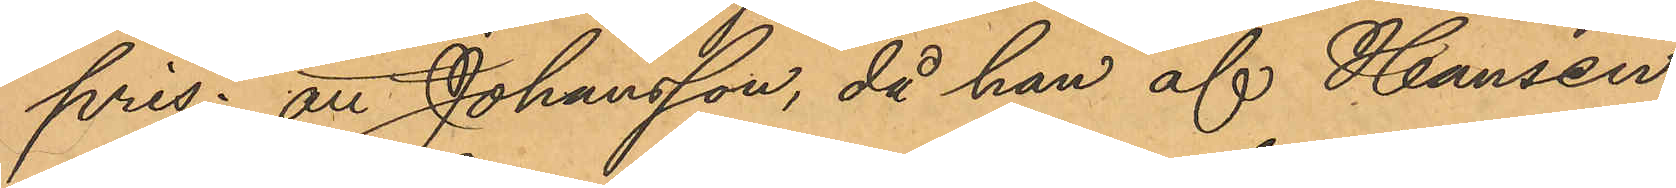pris; att Johansson, då han af Hansen
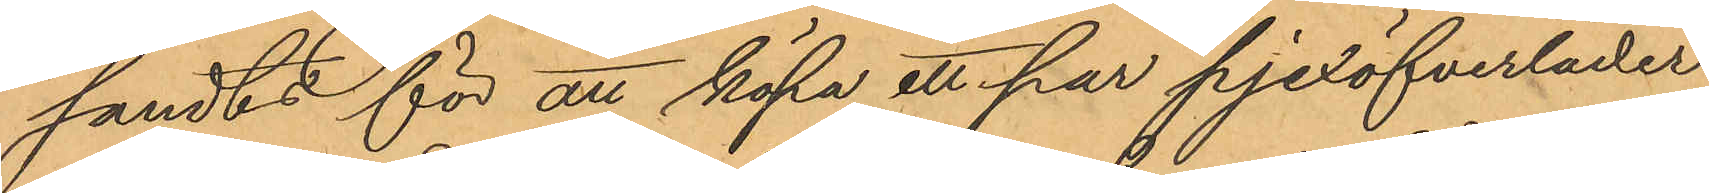sändts för att köpa ett par pjexöfverläder,
